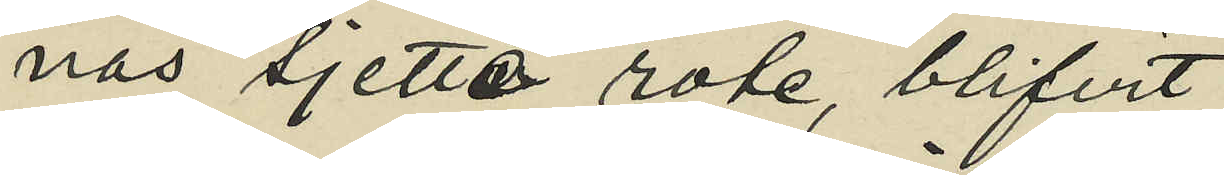nas sjette rote, blifvit
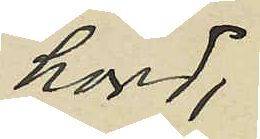hörd;
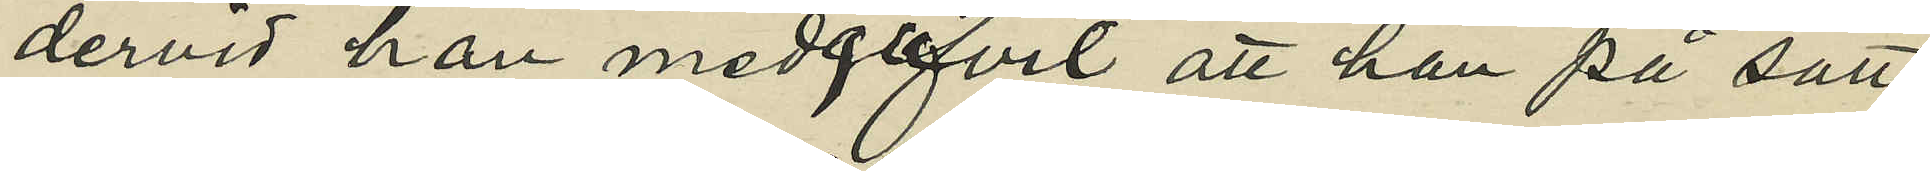dervid han medgifvit att han på sätt
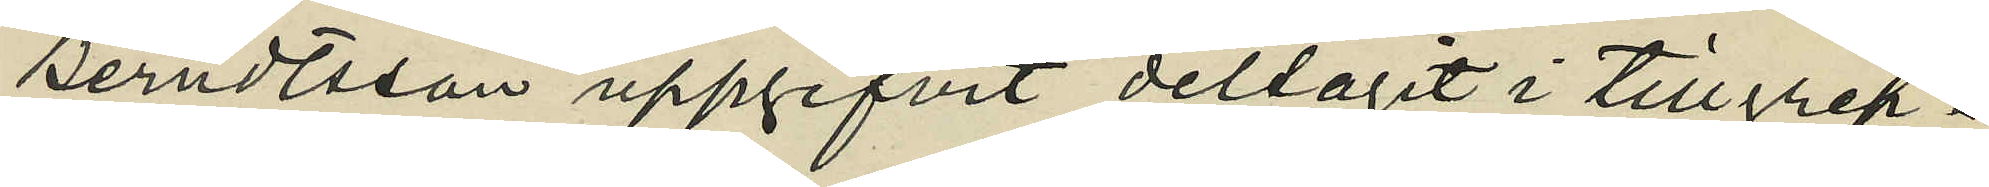Berndtsson uppgifvit deltagit i tillgrep¬
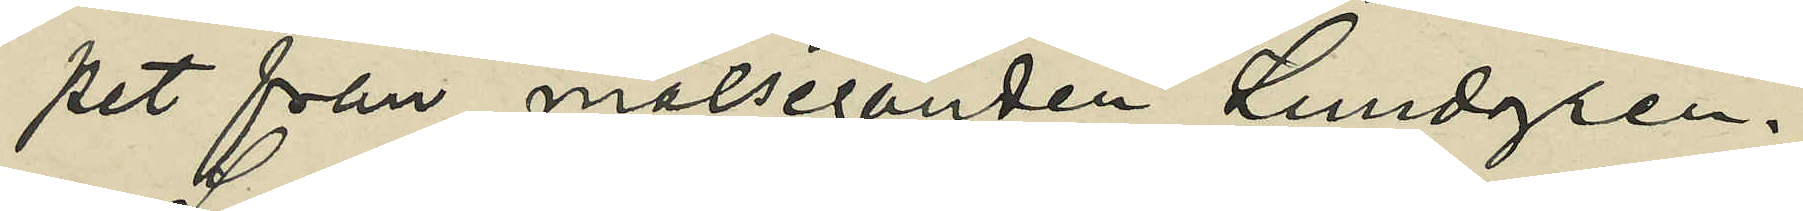pet från målseganden Lundgren.
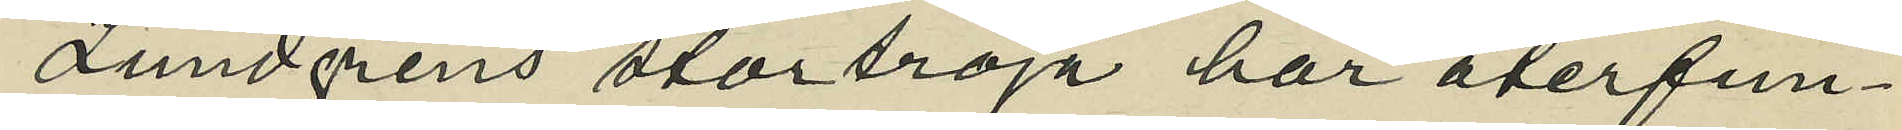Lundgrens stortröja har återfun¬
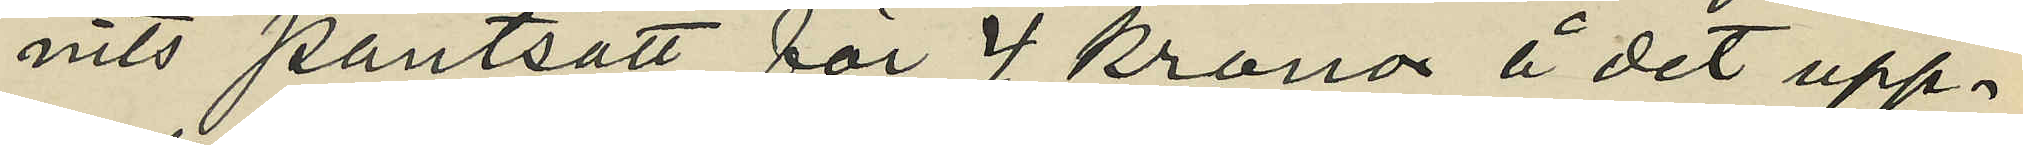nits pantsatt för 4 kronor å det upp¬
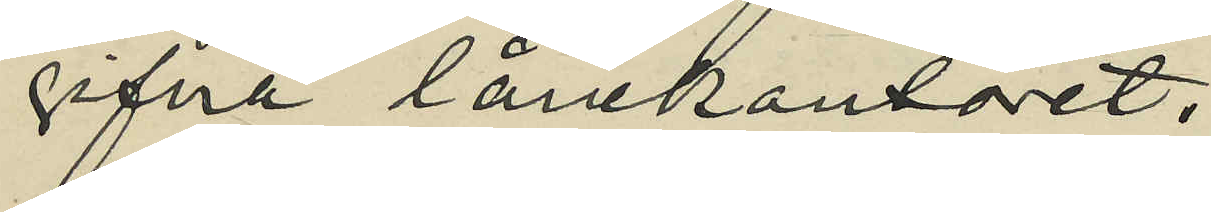gifna lånekontoret.
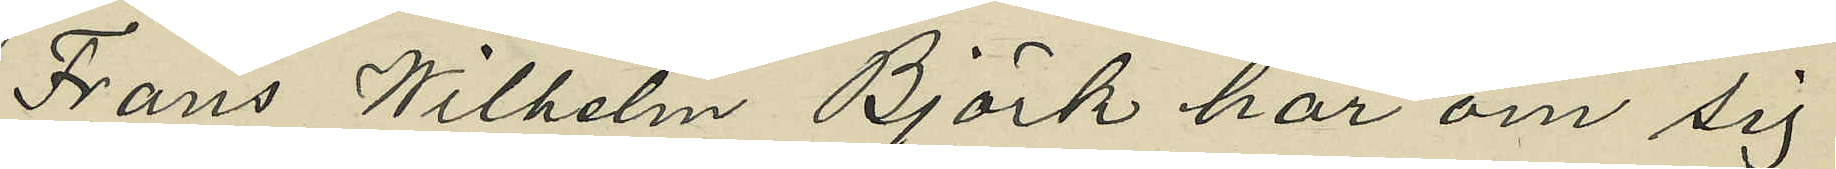Frans Wilhelm Björk har om sig
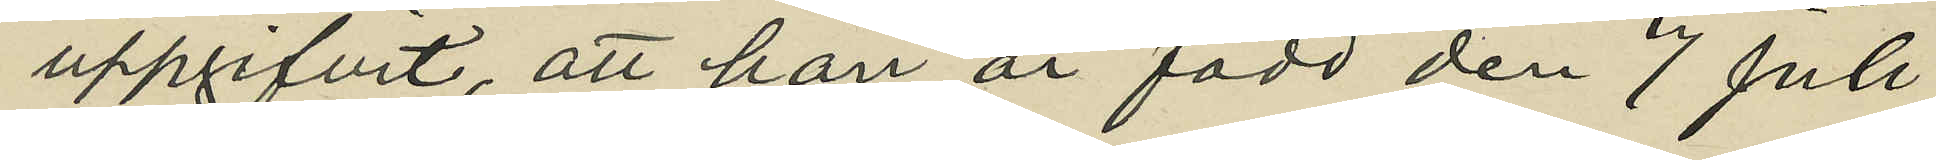uppgifvit, att han är född den 7 Juli
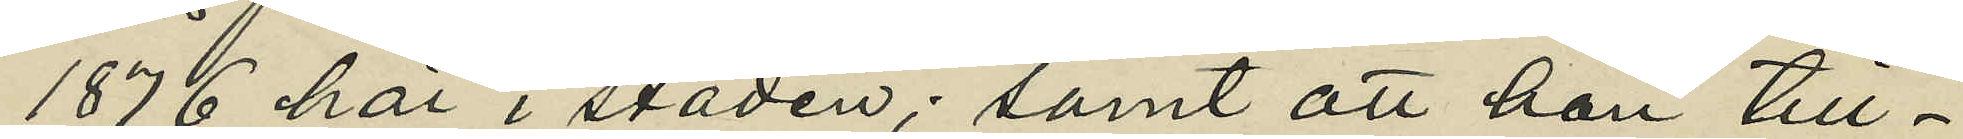1876 här i staden; samt att han till¬
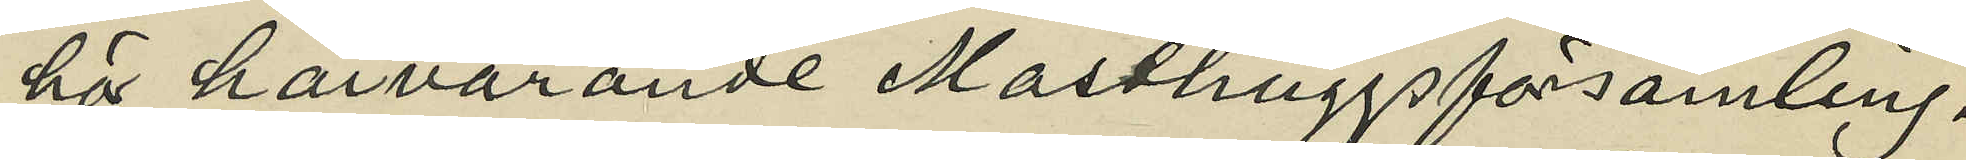hör härvarande Masthuggsförsamling.
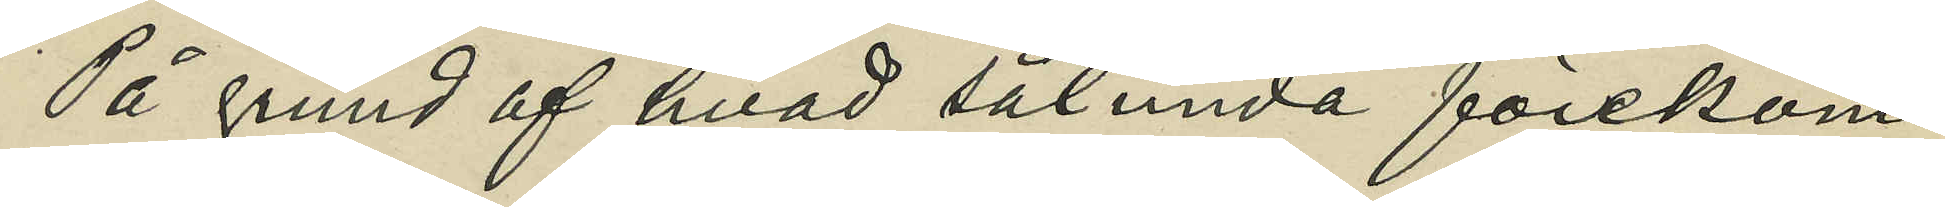På grund af hvad sålunda förekom¬
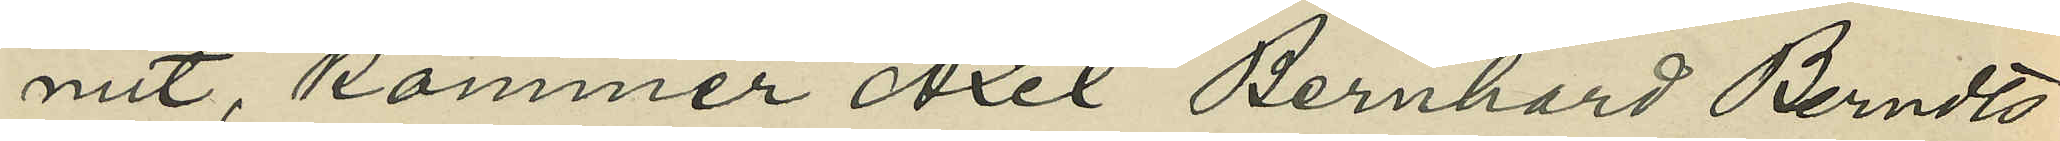mit, kommer Axel Bernhard Berndts¬
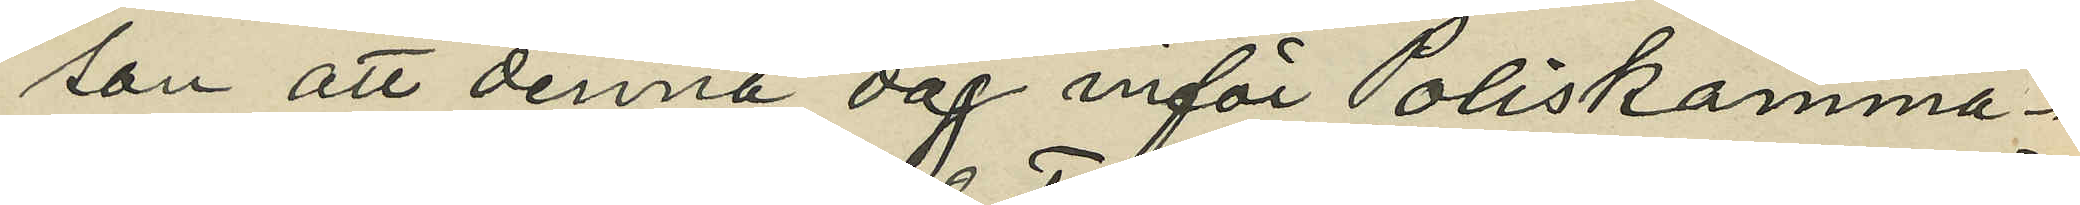son att denna dag inför Poliskamma¬
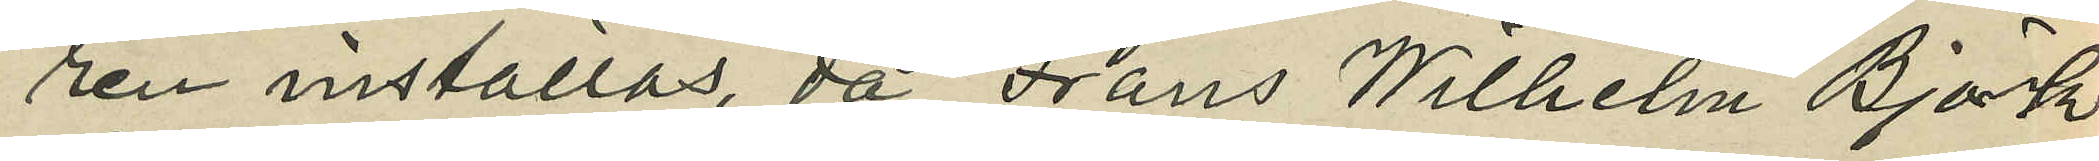ren inställas, då Frans Wilhelm Björk
